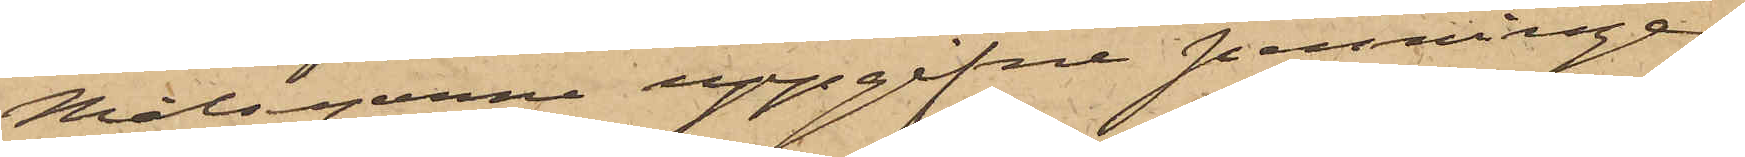Målsegarne uppgifne penninge¬
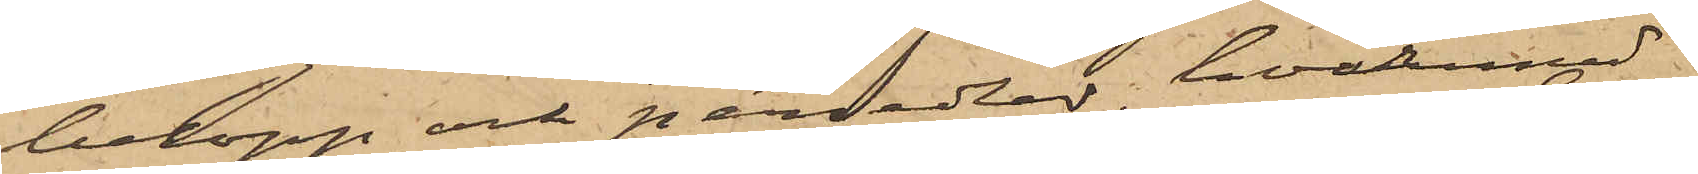belopp och persedlar, hvarmed
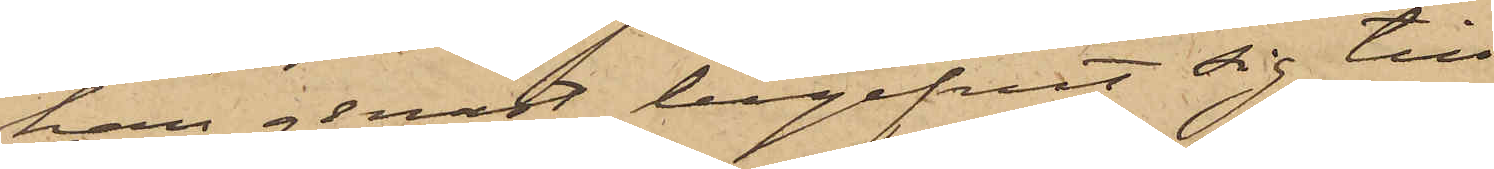han genast begifvit sig till
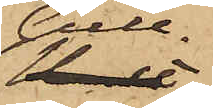Gull¬
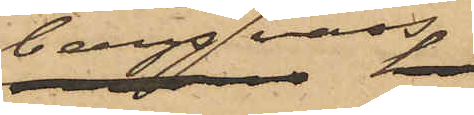bergsvass,
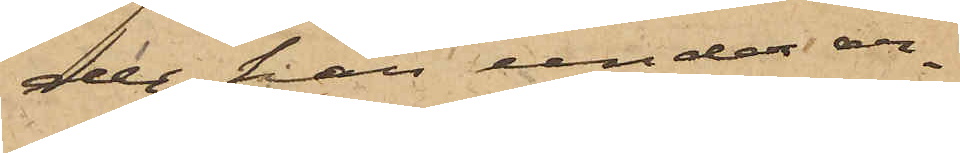der han under ar¬
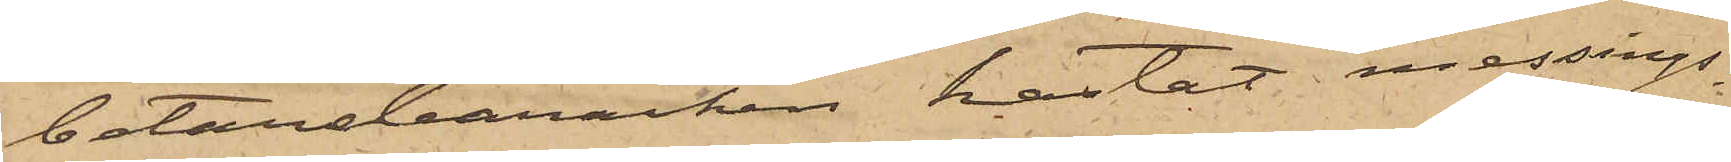betarebaracken kastat messings¬
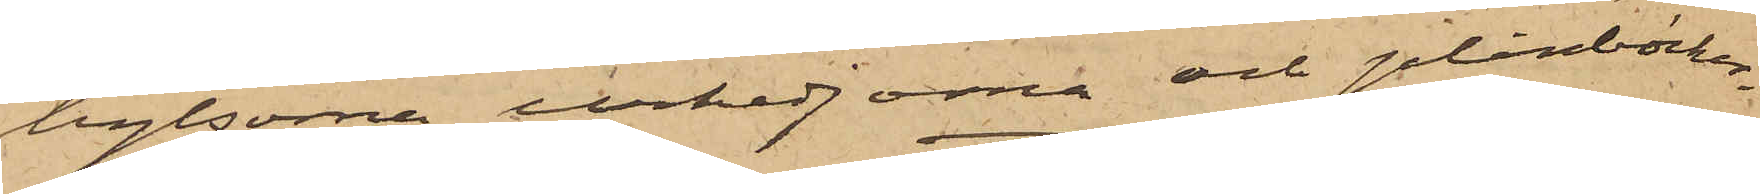hylsorna, urkedjorna och plånböcker¬
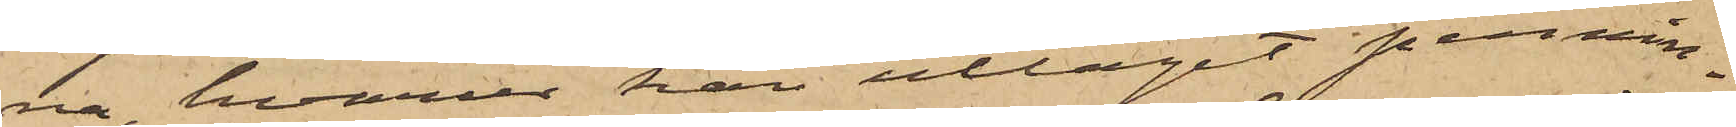na, hvarur han uttagit pennin¬
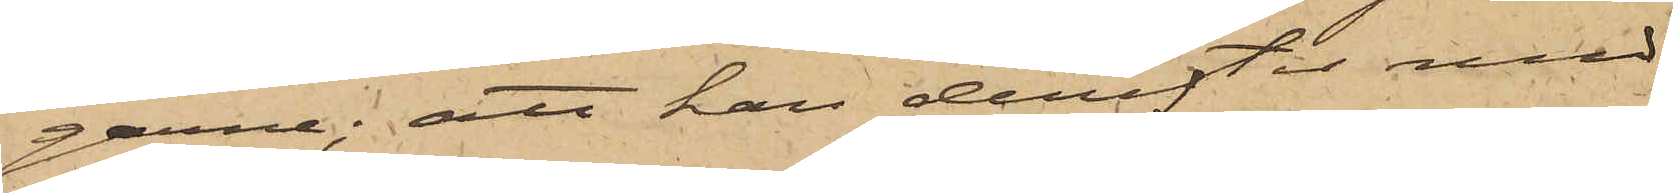garne; att han derefter med
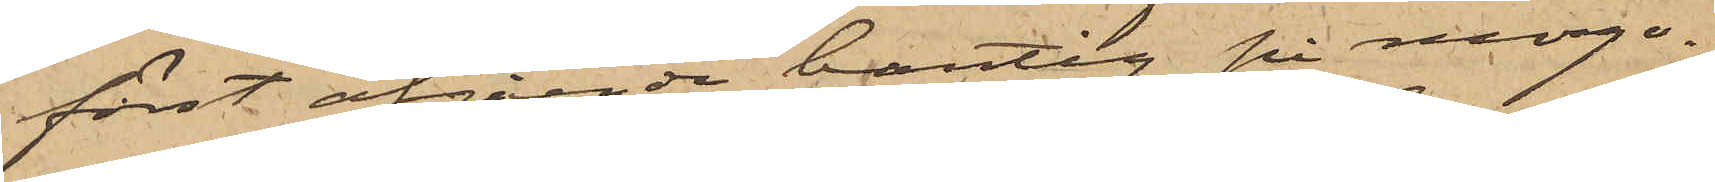först afgående bantåg på morgo¬
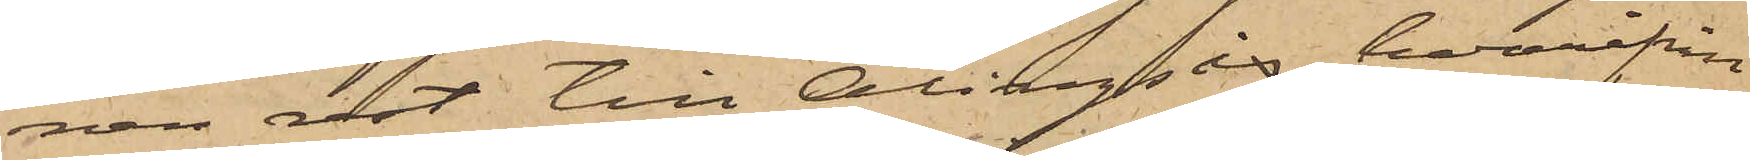nen rest till Alingsås, hvarifrån
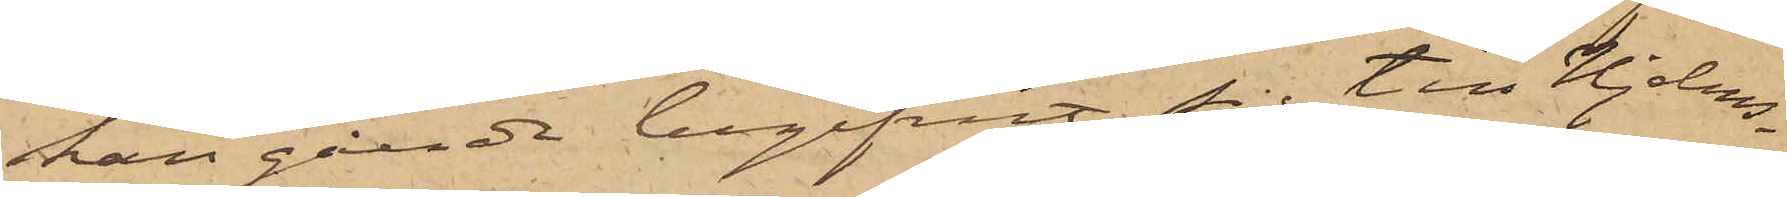han gående begifvit sig till Hjelms¬
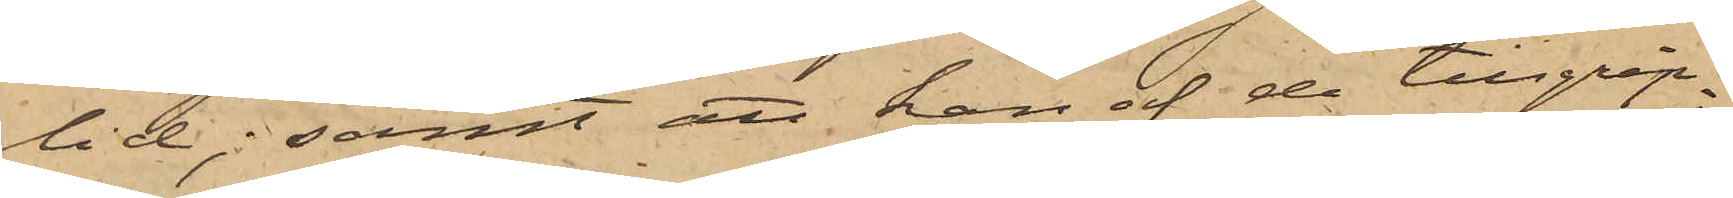lid; samt att han af de tillgrip¬
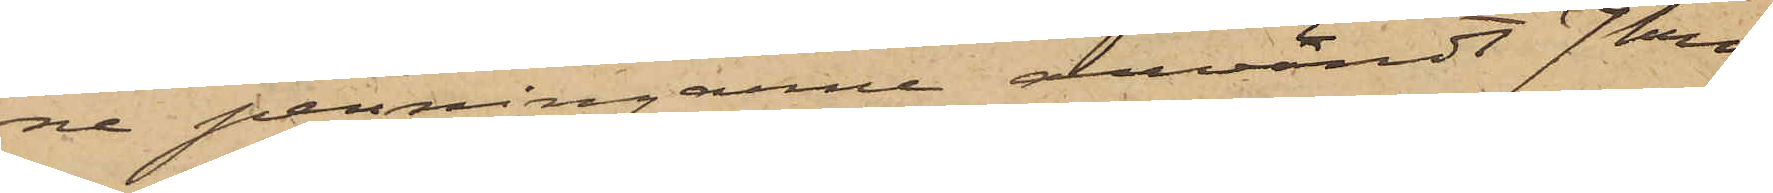ne penningarne användt 7 kro¬
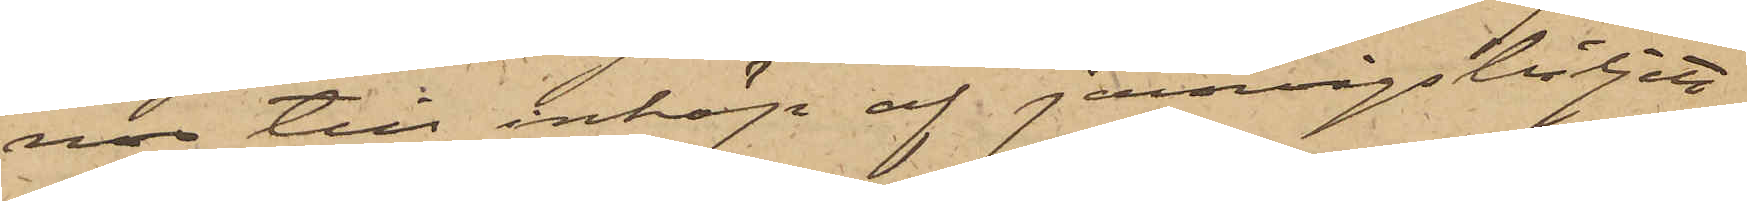nor till inköp af jernvägsbiljett
